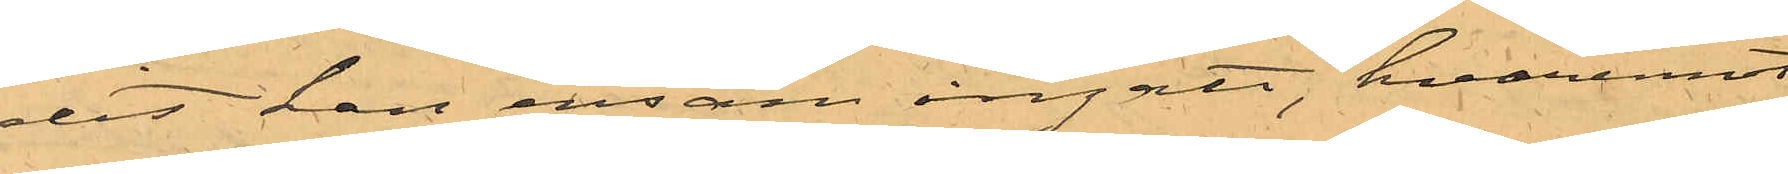dit han ensam ingått, hvaremot
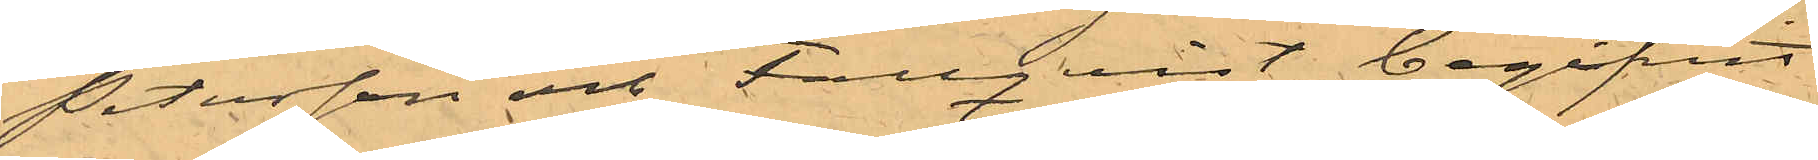Petersson och Fallquist begifvit
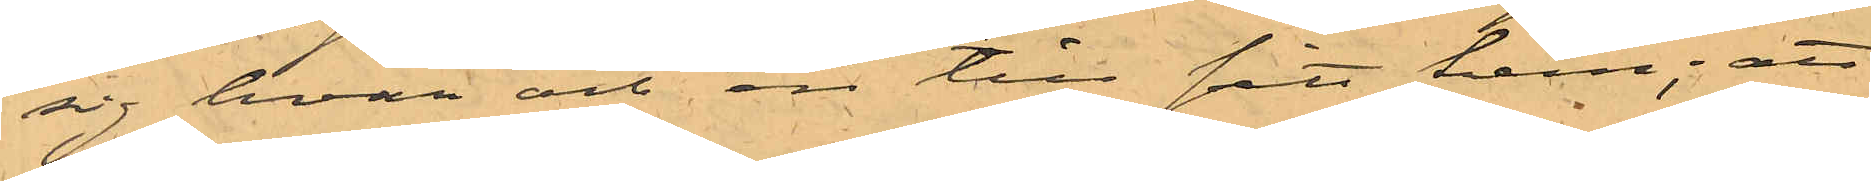sig hvar och en till sitt hem; att
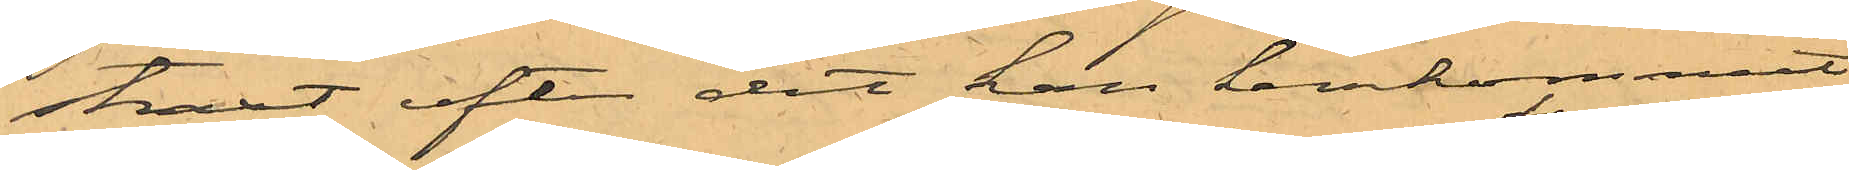straxt efter det han hemkommit
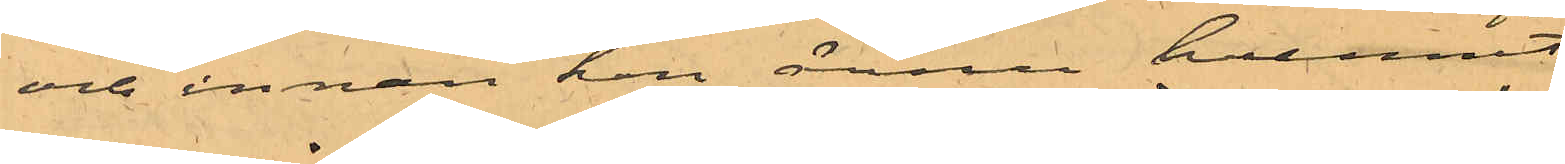och innan han ännu hunnit 
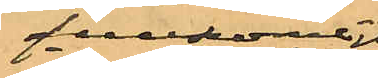fullkomligt
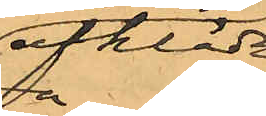afkläda
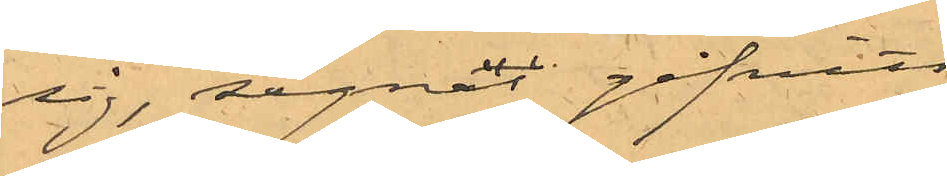sig, signal gifvits
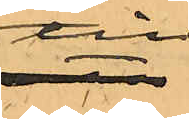till
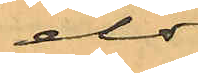eldsen vore
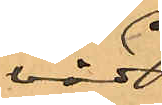våda
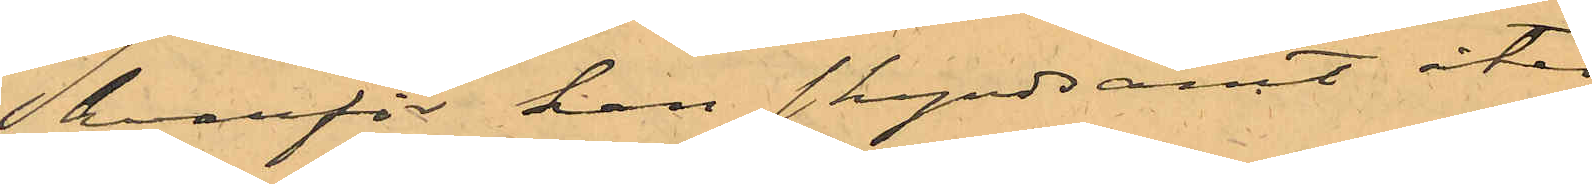hvarför han skyndsamt åter
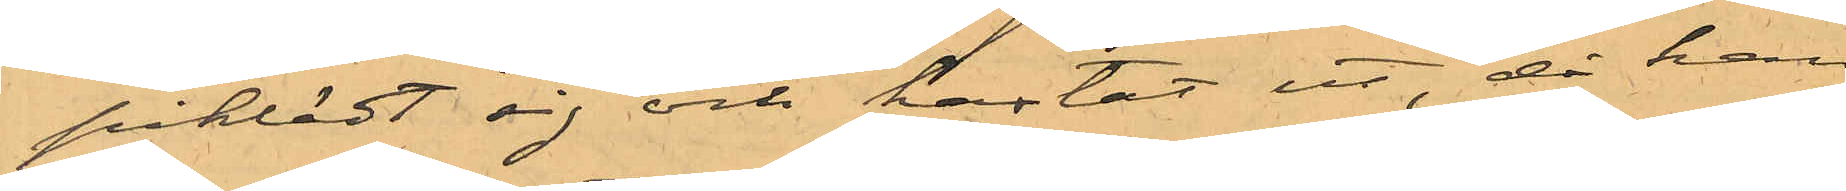påklädt sig och hastat ut, då han
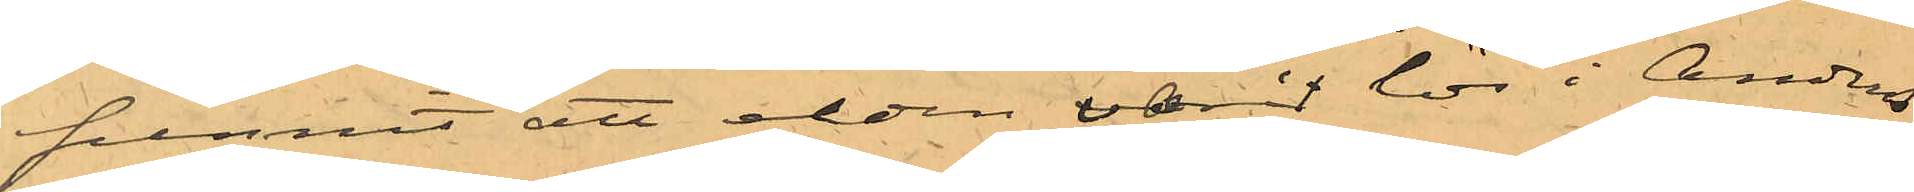funnit att elden varit lös i Anders¬
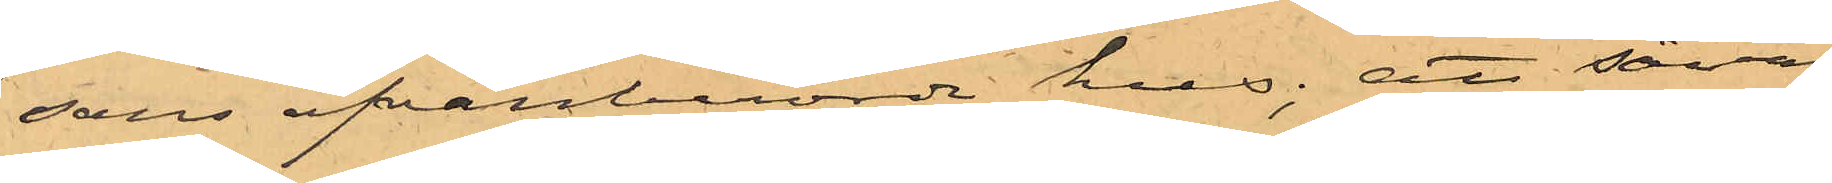sons ofvanberörde hus: att såväl
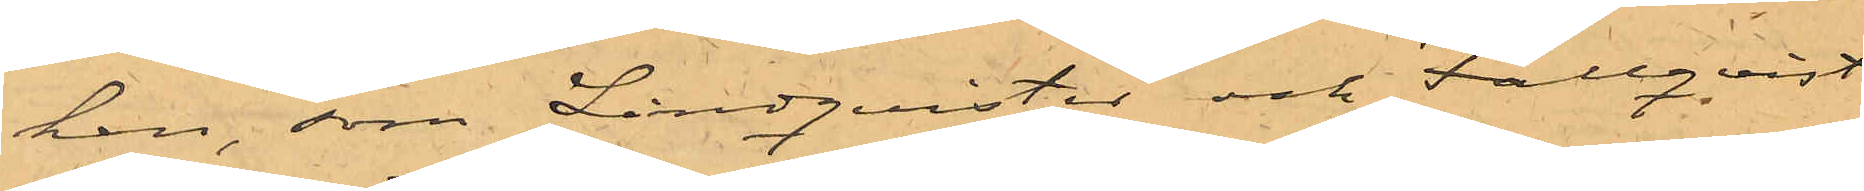han, som Lindquister och Fallquist
